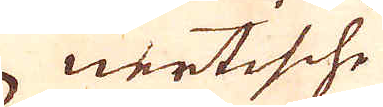nertische
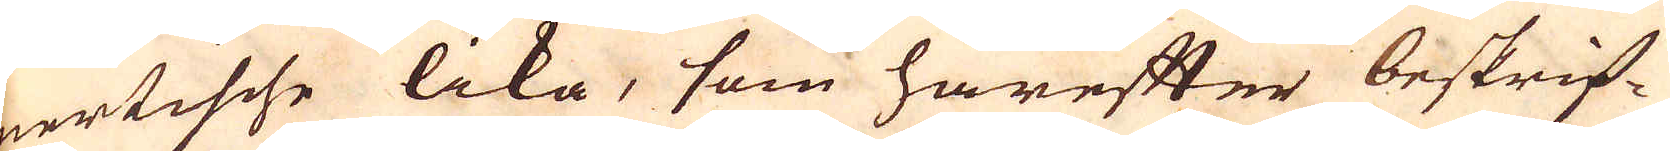nertische lika, som härefter beskrif-
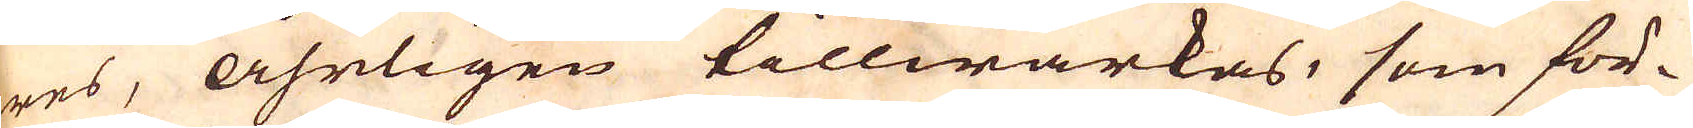wes, åhrligen tillwärkas, som för-
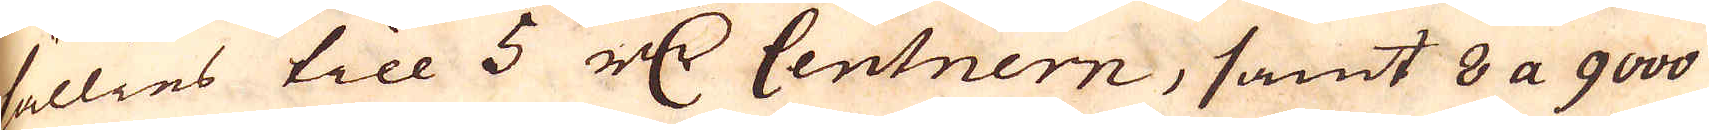sällies till 5 r:dr Centnern, samt 8 a 9000
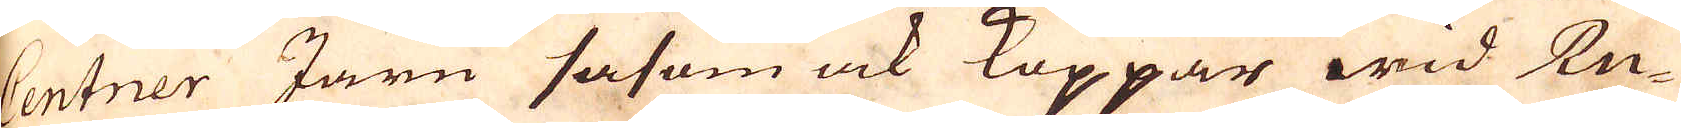Centner Järn såsom ock Koppar wid Ru-
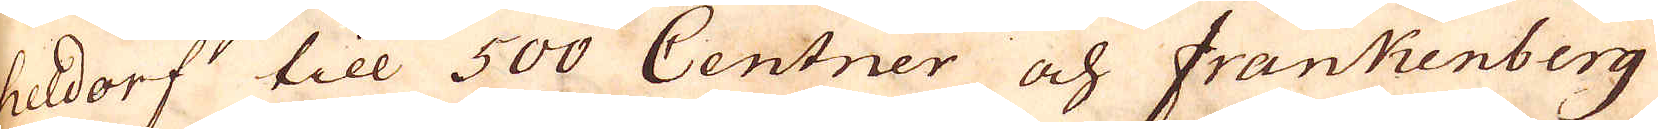heldorf till 500 Centner och Frankenberg
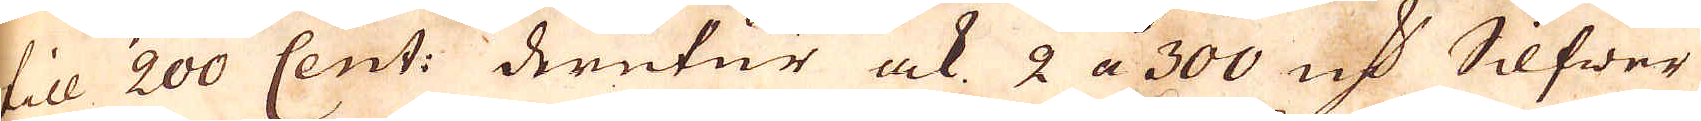till 200 Cent: derutur ock 2 a 300 marker Silfwer
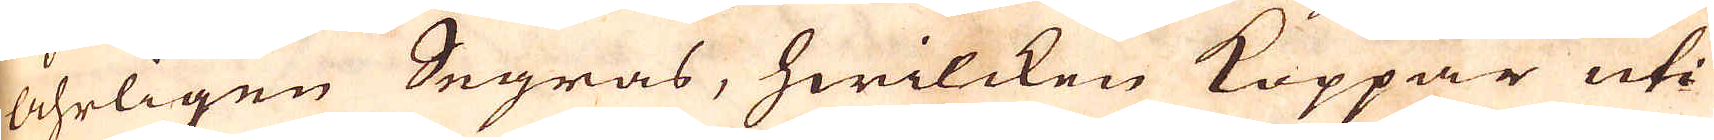åhrligen Segras, hwilcken Koppar uti
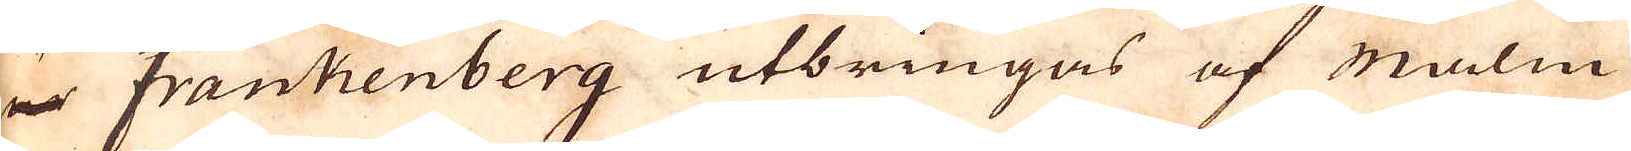ur Frankenberg utbringas af malm
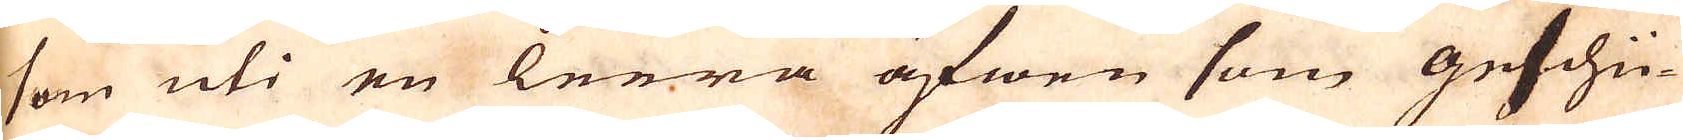som uti en lerra äfwen som geschü-
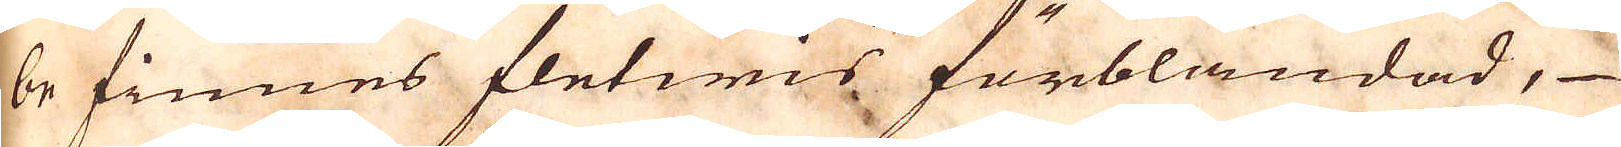be finnes fletwis förblandad,
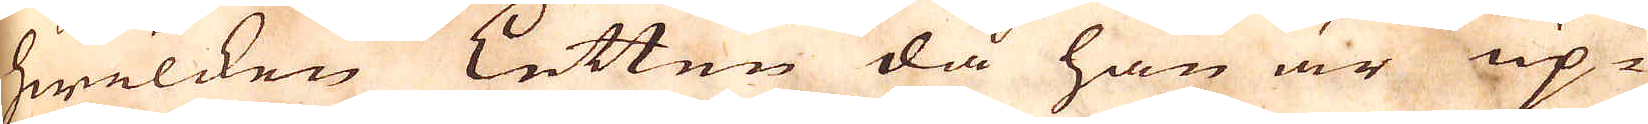hwelcken Letten då han är up-
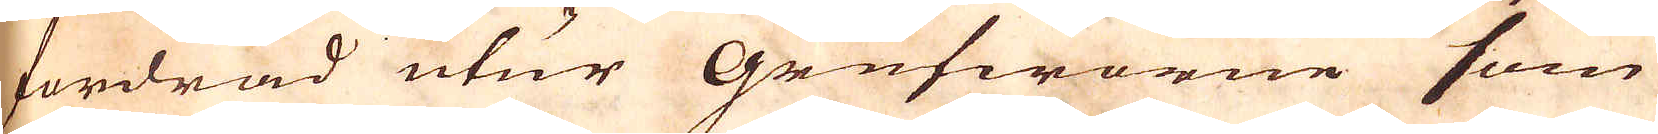fordrad utur Grufworne som
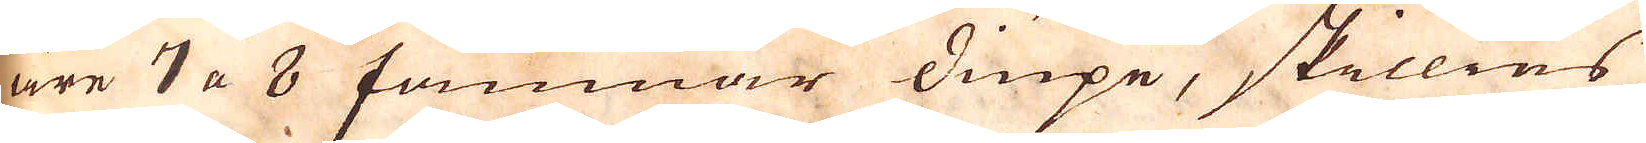äre 7 a 8 famnar diupe, skillies
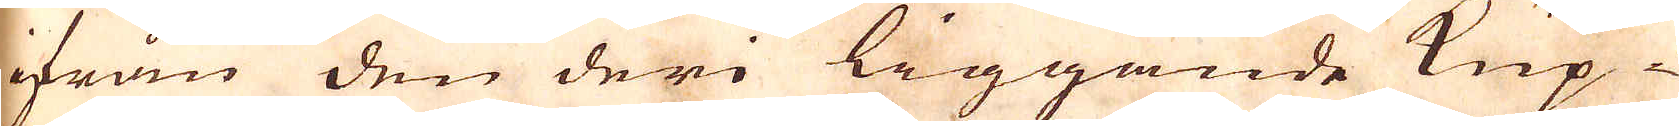ifrån den deri liggande Kup-
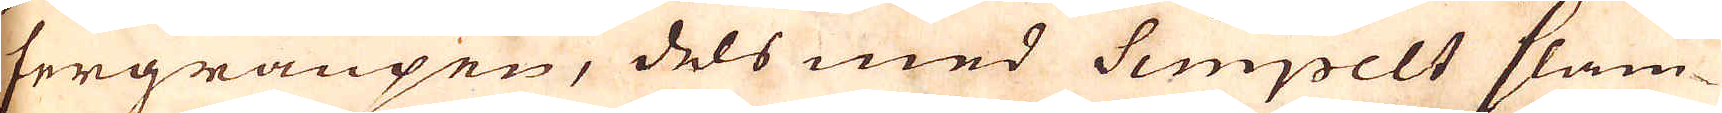fergraupen, dels med Simpelt slam-
